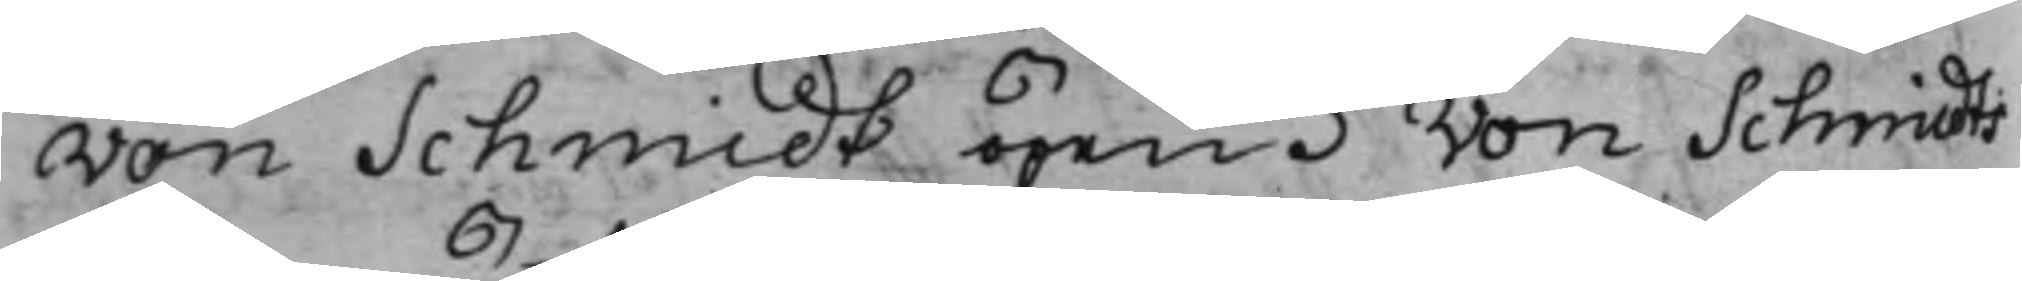von Schmidt öpen. Von Schmidts
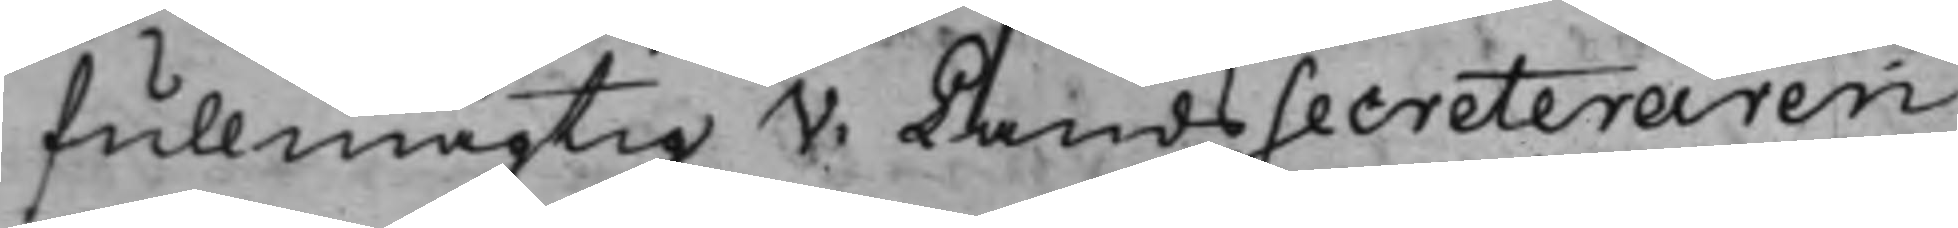fullmägtig V. LandsSecreteraren
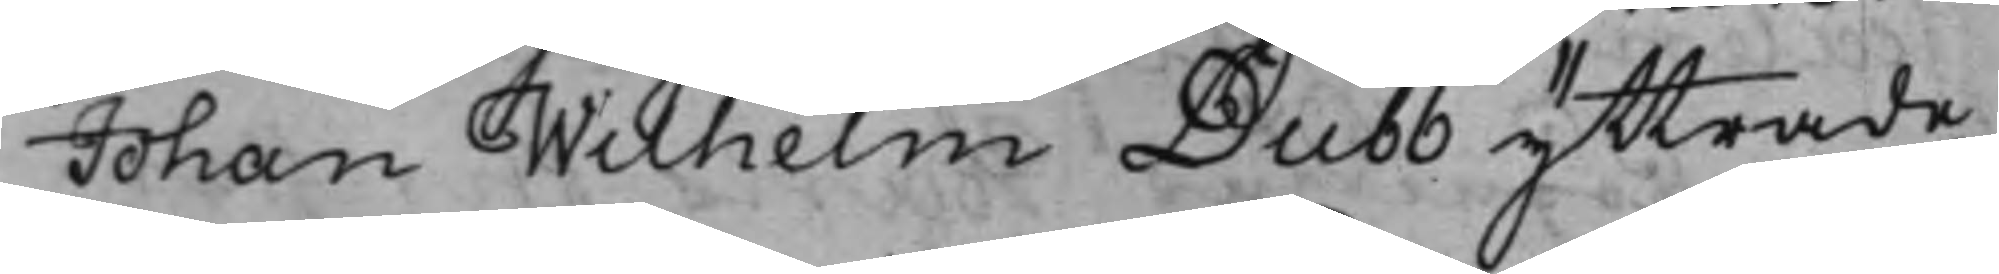Johan Wilhelm Dubb yttrade
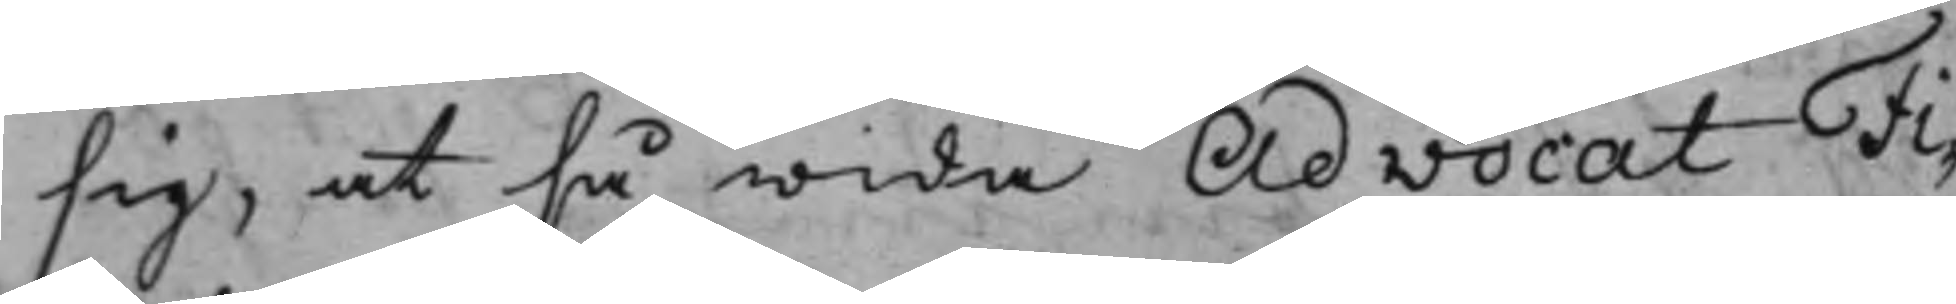sig, at så wida AdvocatFi¬
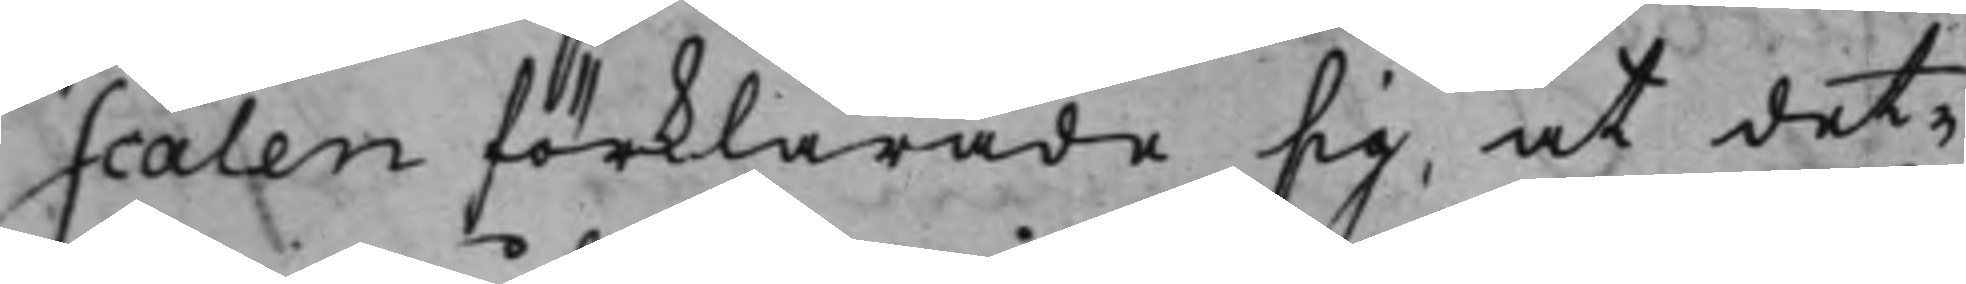scalen förklarade sig, at det¬
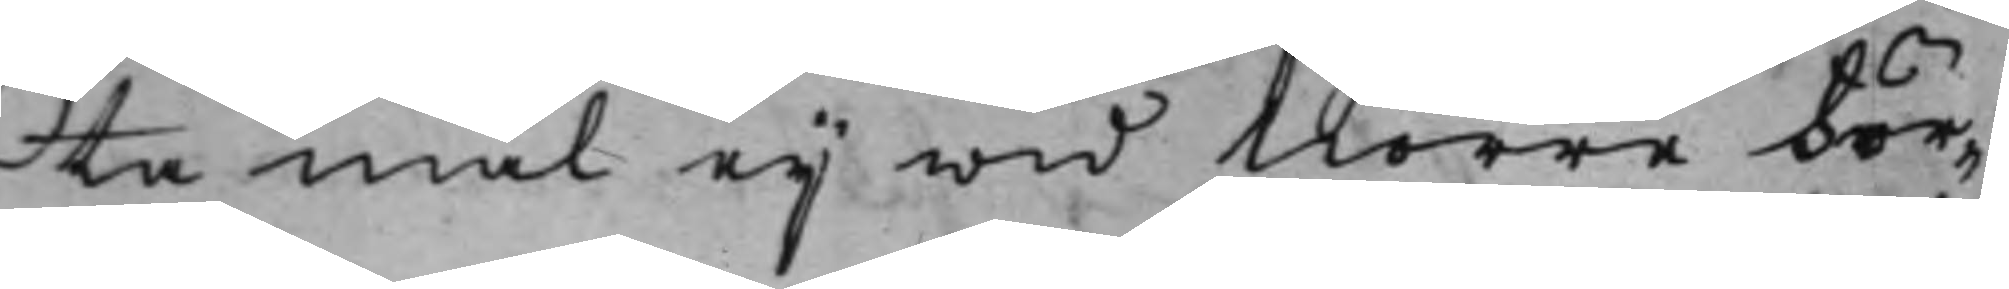ta mål eij wid Norre För¬
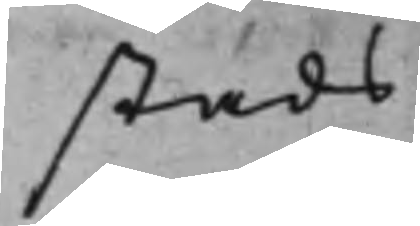stads
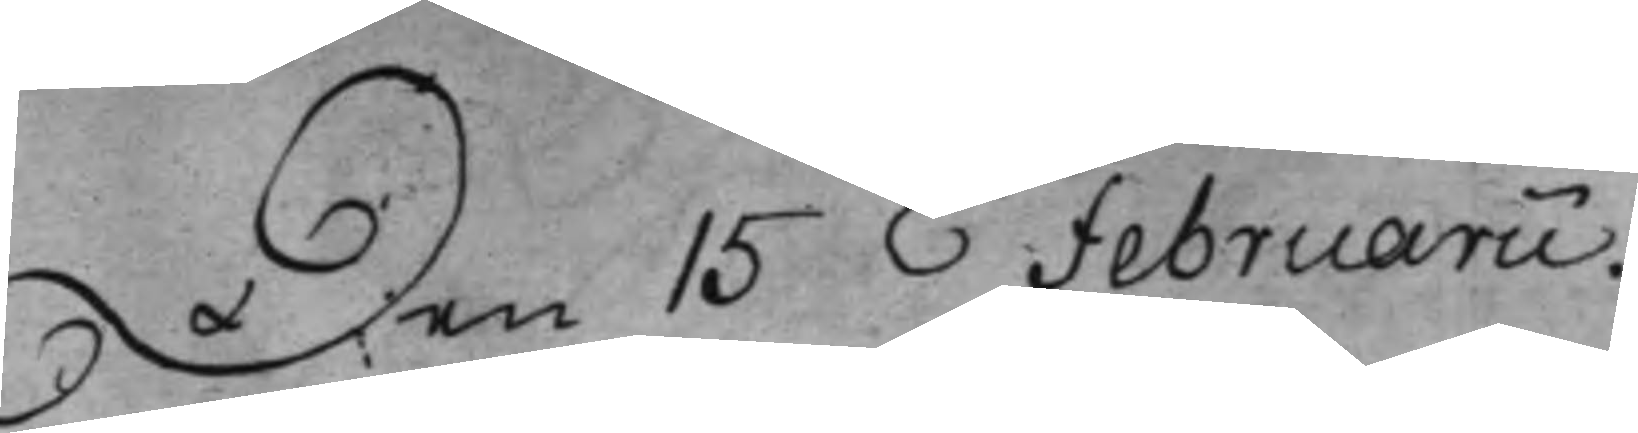Den 15 Februarii.
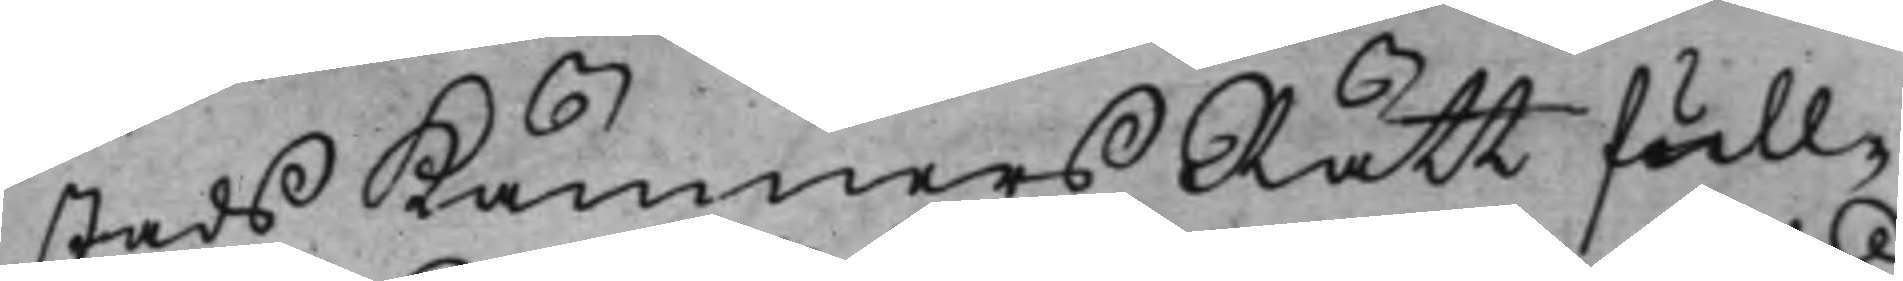stads KämnersRätt full¬
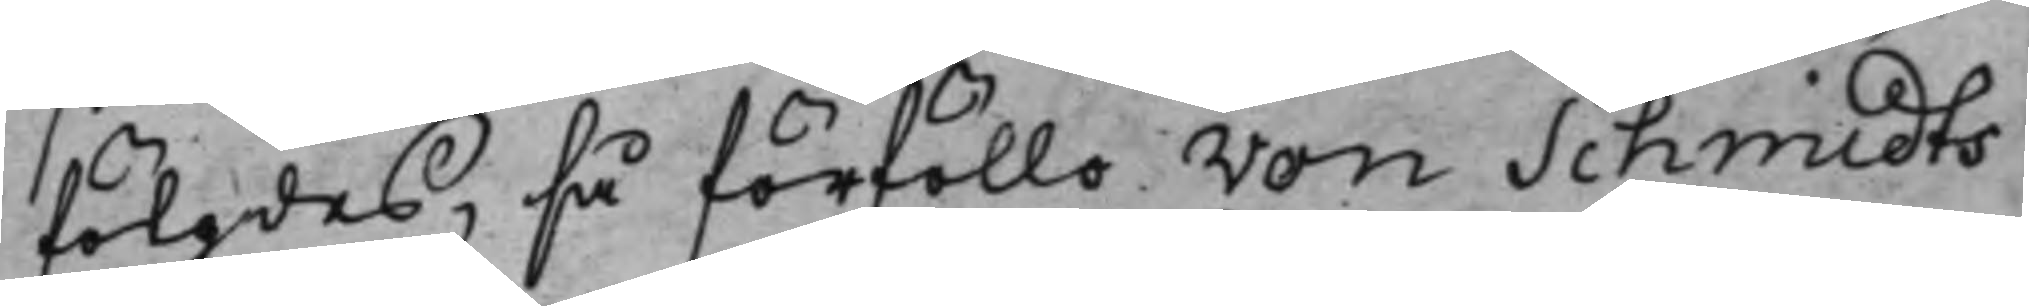fölgdes, så förföllo von Schmidts
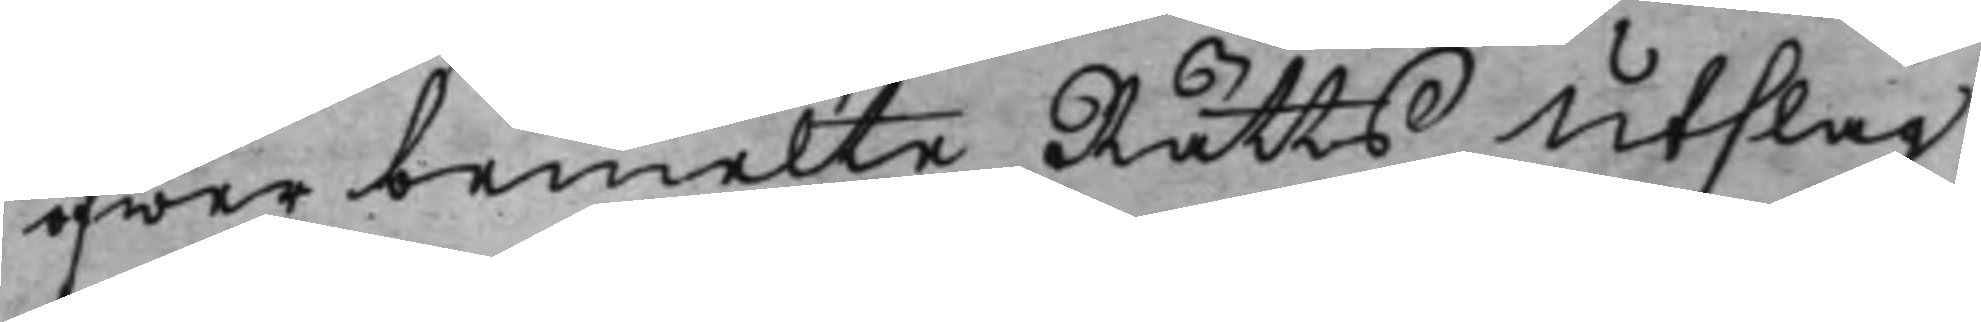öfwer bemelte Rätts Utslag
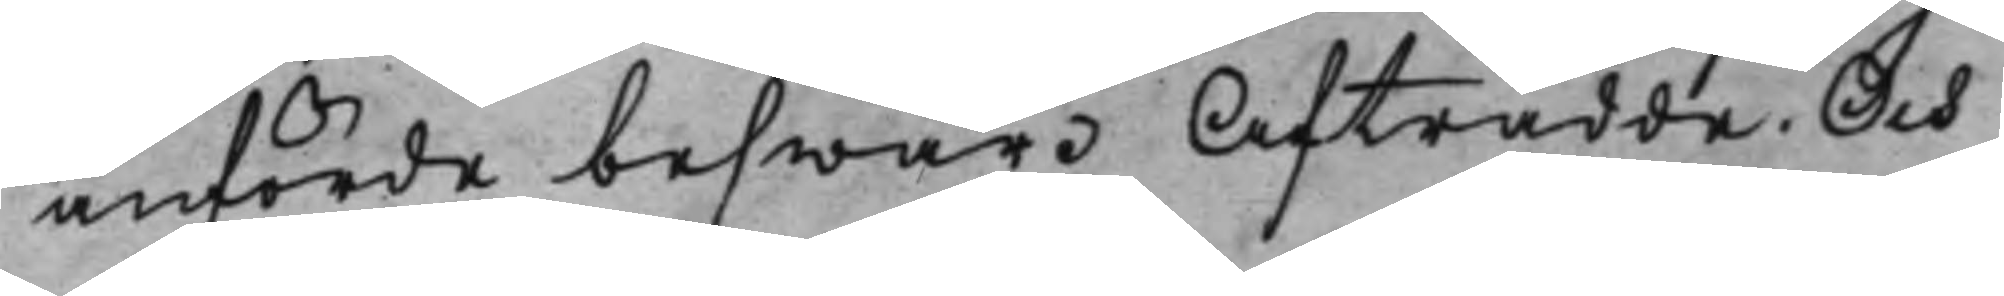anförde beswär. Afträdde. Och
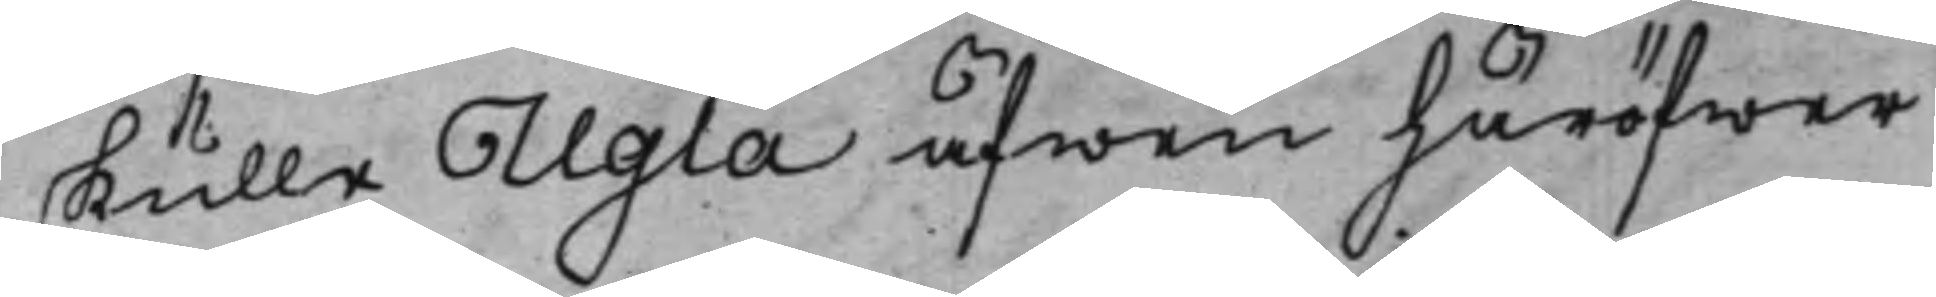skulle Ugla äfwen häröfwer
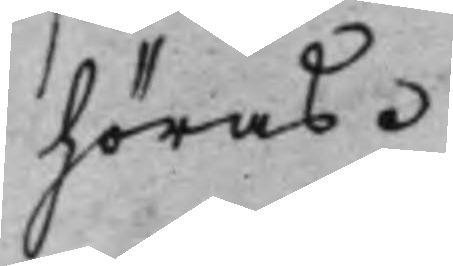höras.
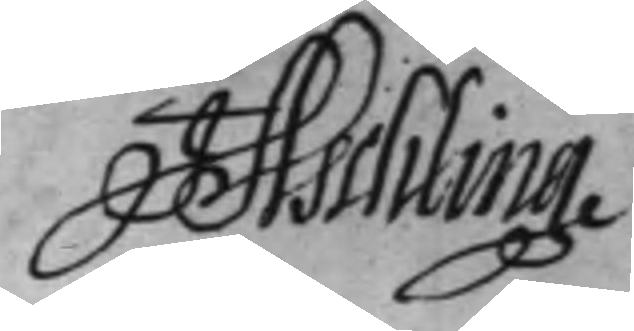J Aschling
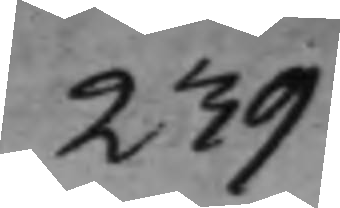239
